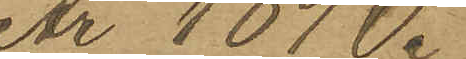År 1890.
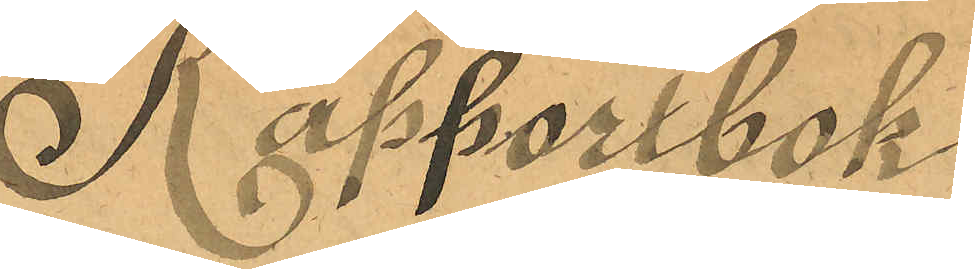Rapportbok
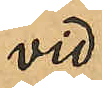vid
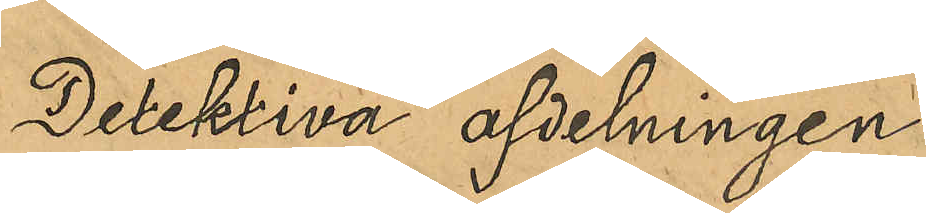Detektiva afdelningen
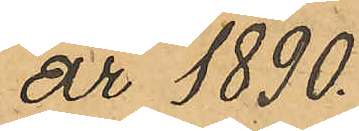år 1890.
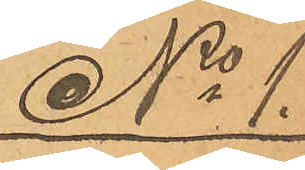No 1.
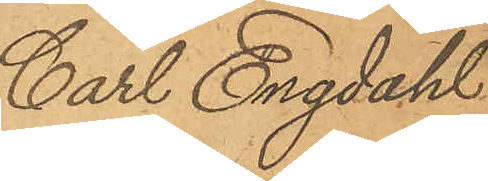Carl Engdahl
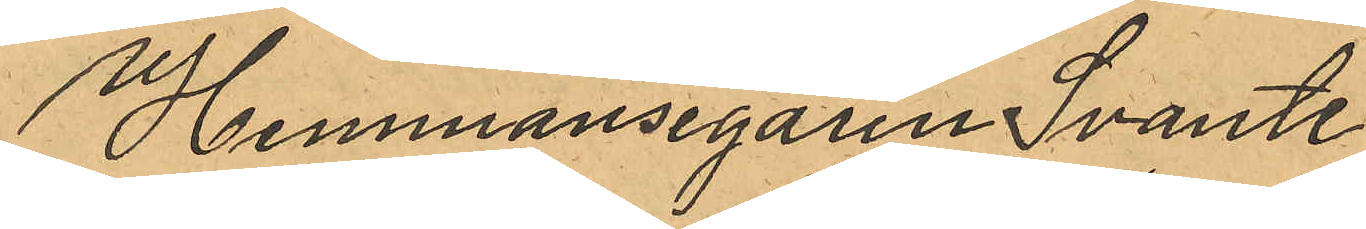Hemmansegaren Svante
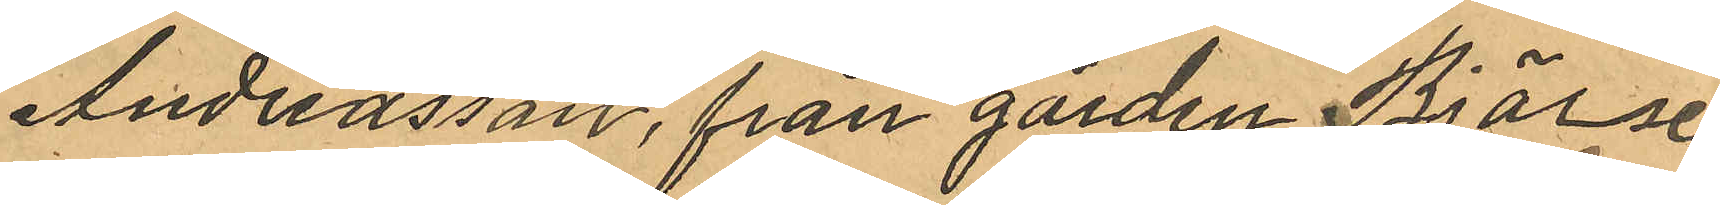Andreasson, från gården Bjärse¬
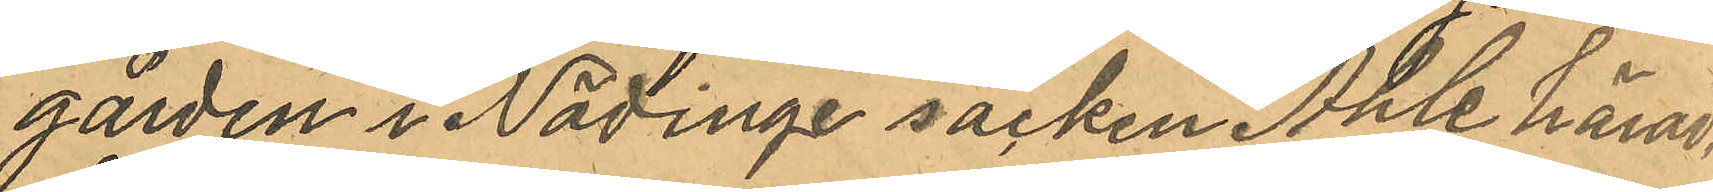gården i Nödinge socken Ahle härad,
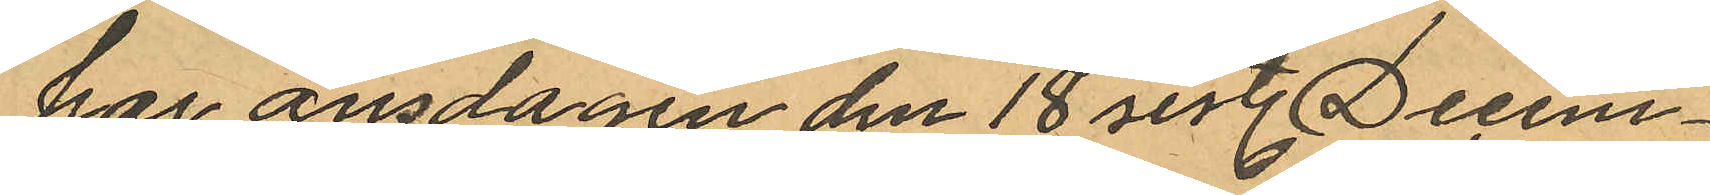har onsdagen den 18 sist. Decem¬
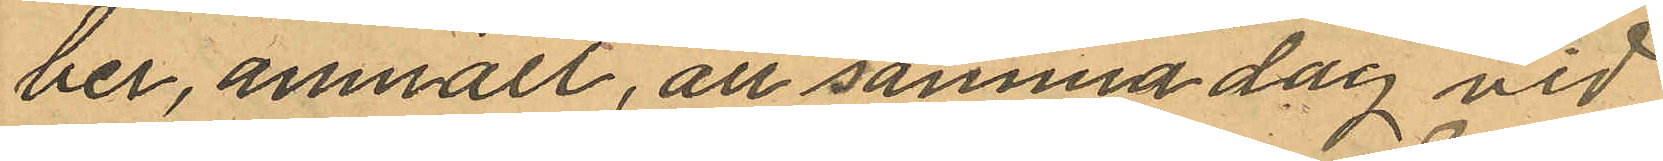ber, anmält, att samma dag vid
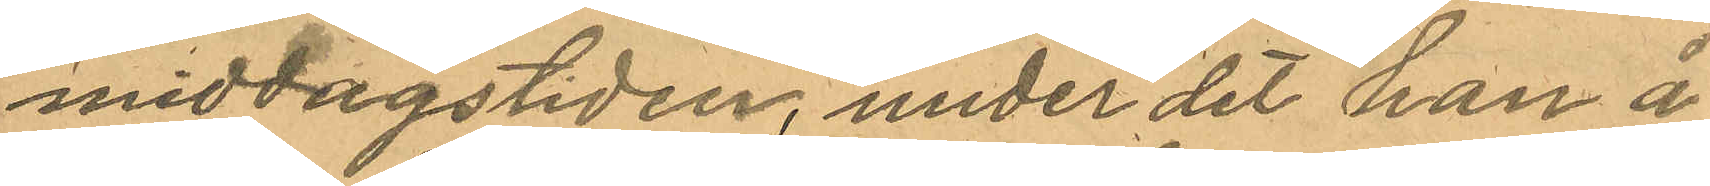middagstiden, under det han å
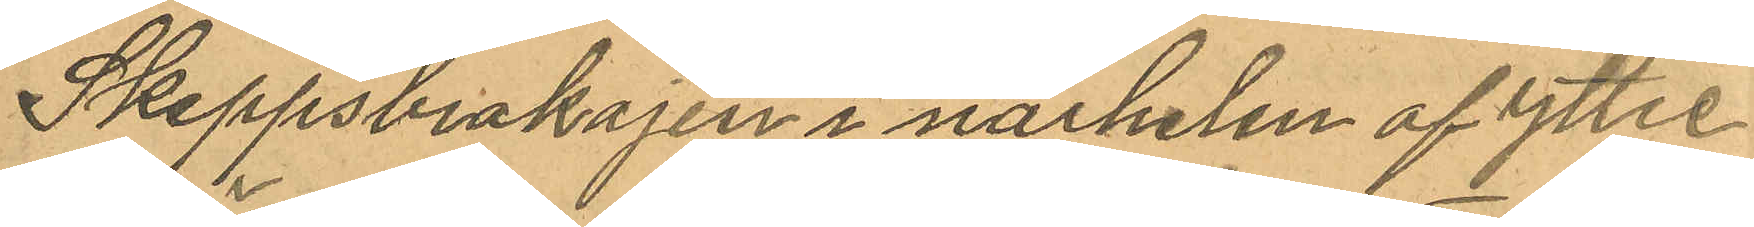Skeppsbrokajen i närheten af yttre
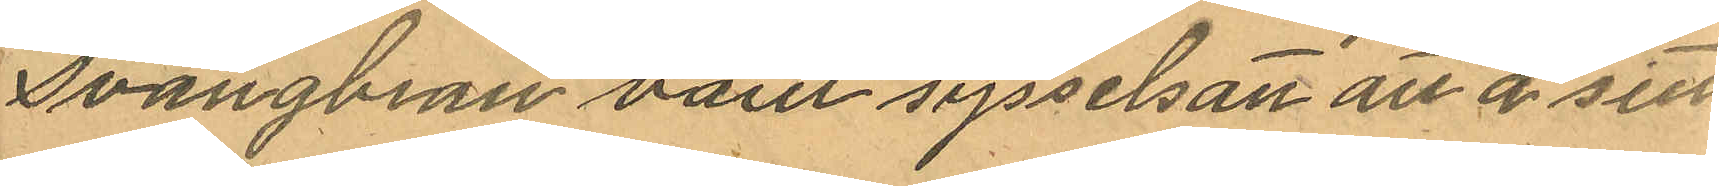svängbron varit sysselsant att å sitt
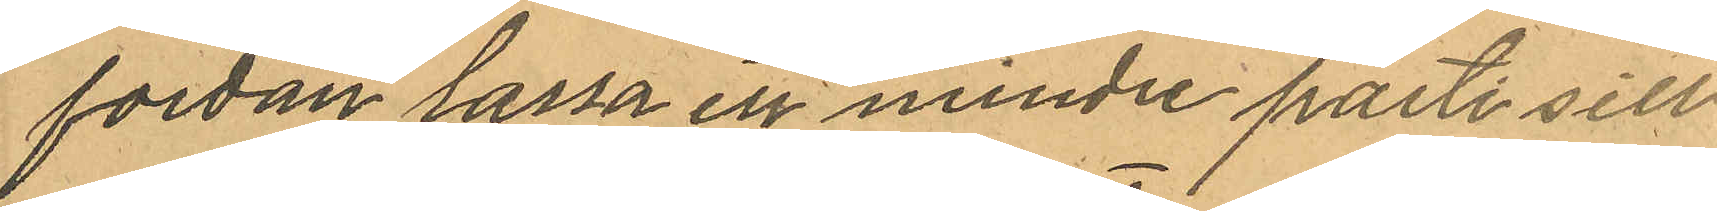fordon lassa ett mindre parti sill
